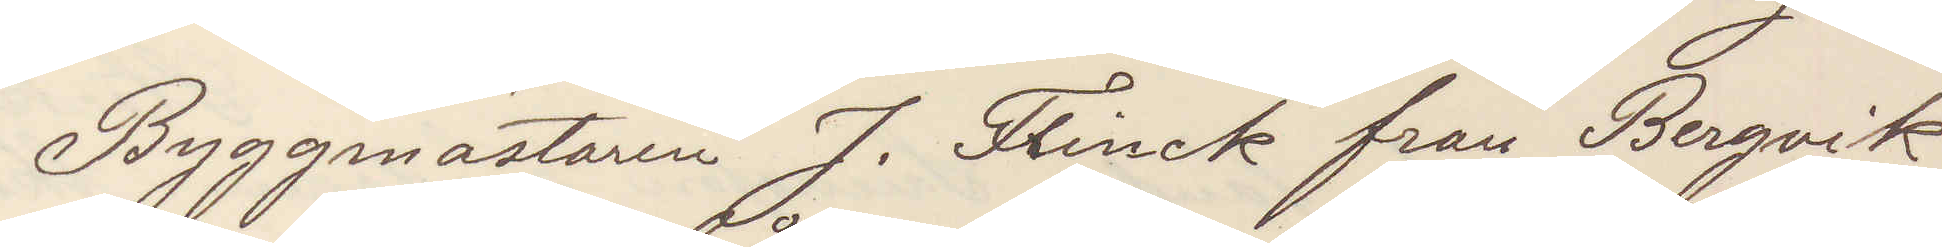Byggmästaren J Flinck från Bergvik
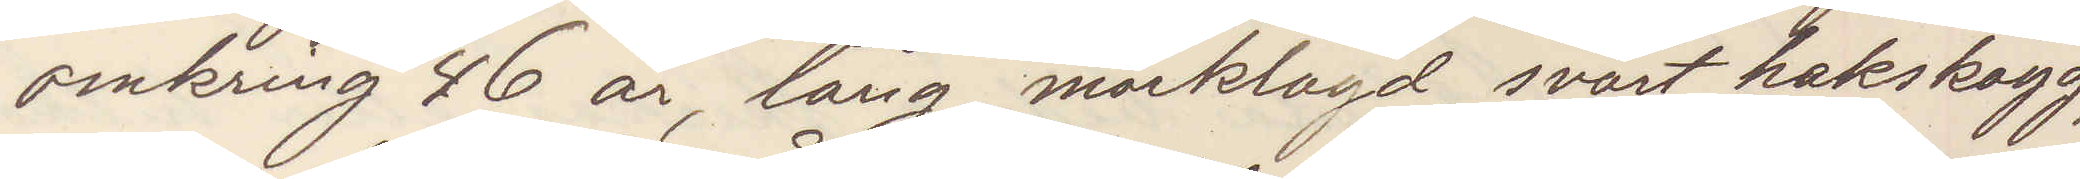omkring 46 år, lång, mörklagd, svart hakskägg,
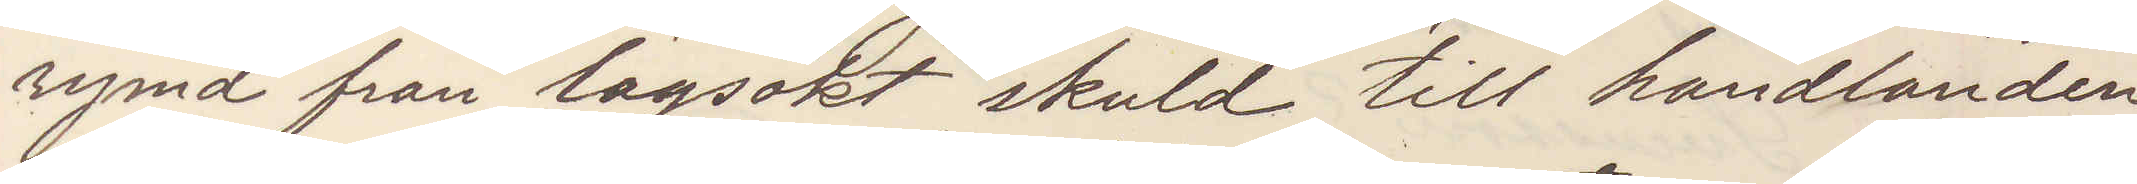rymd från lagsökt skuld till handlanden
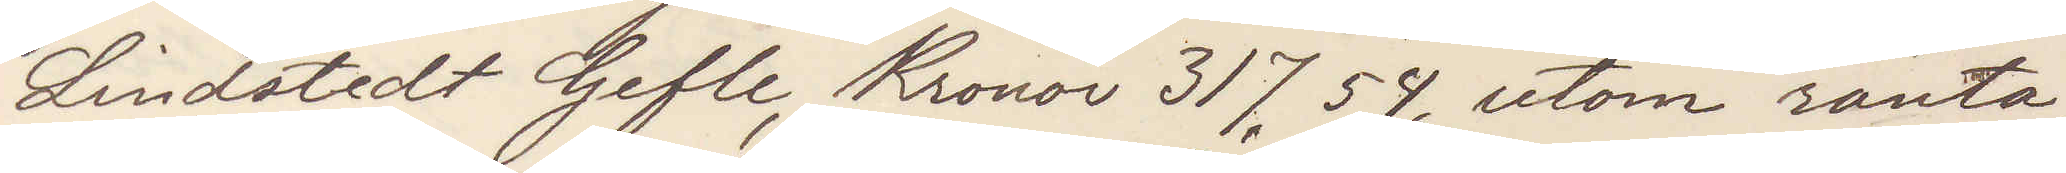Lindstedt Gefle, 317,54, utom ränta,
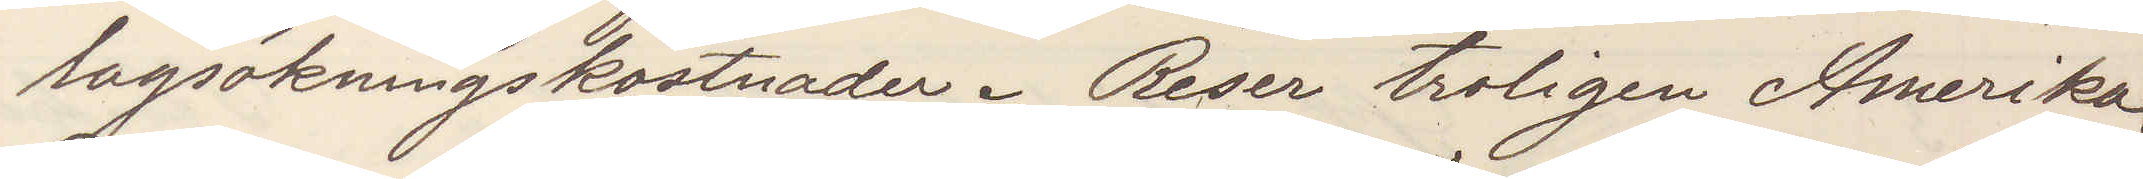lagsökningskostnader. Reser troligen Amerika.
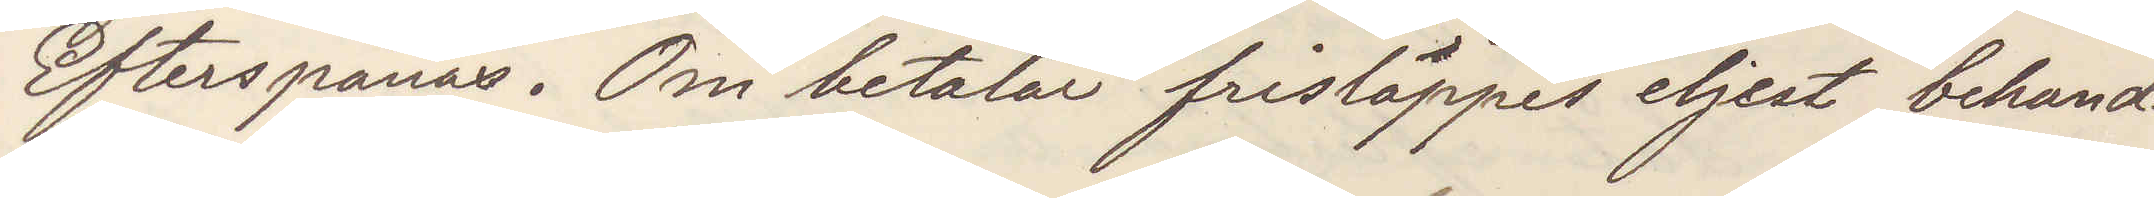Efterspanas. Om betalar frisläppes eljest behand¬
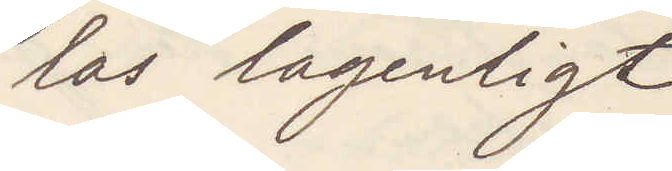las lagenligt
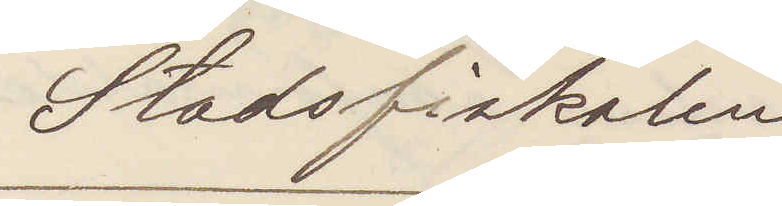Stadsfiskalen
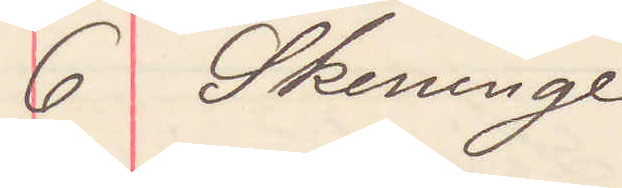6 Skeninge
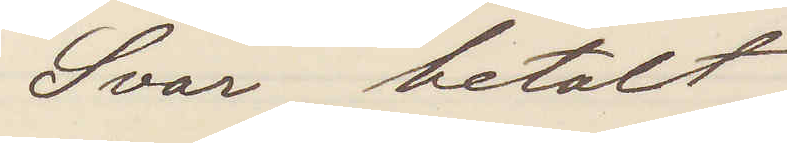Svar betalt
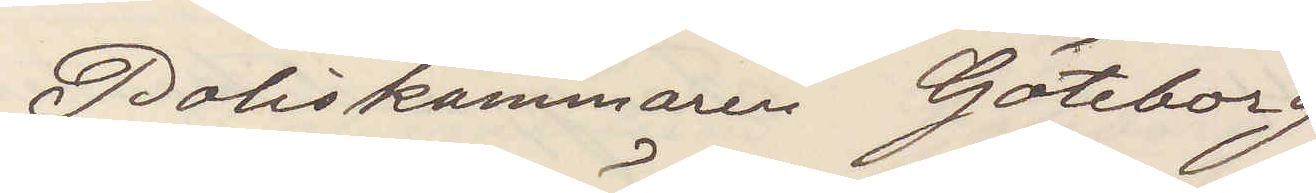Poliskammaren Göteborg
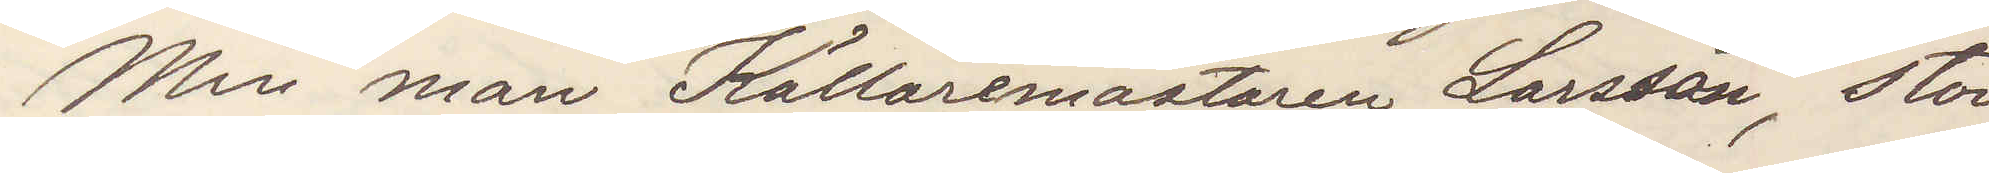Min man Källaremästaren Larsson, stor
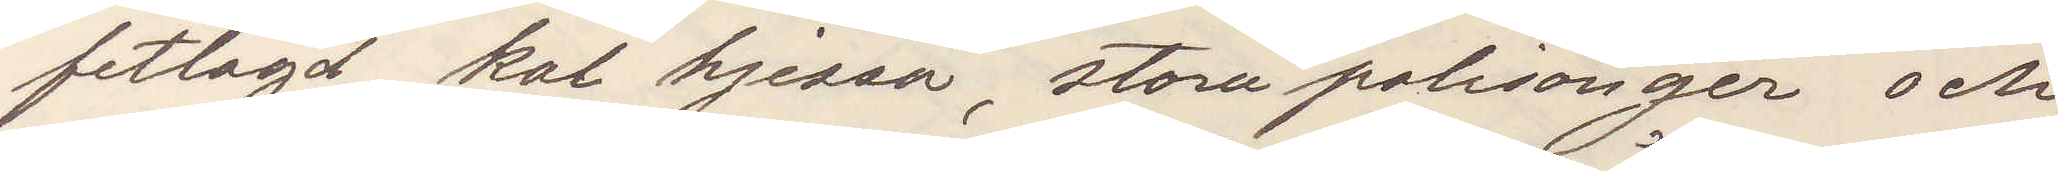fetlagd, kal hjessa, stora polisonger och
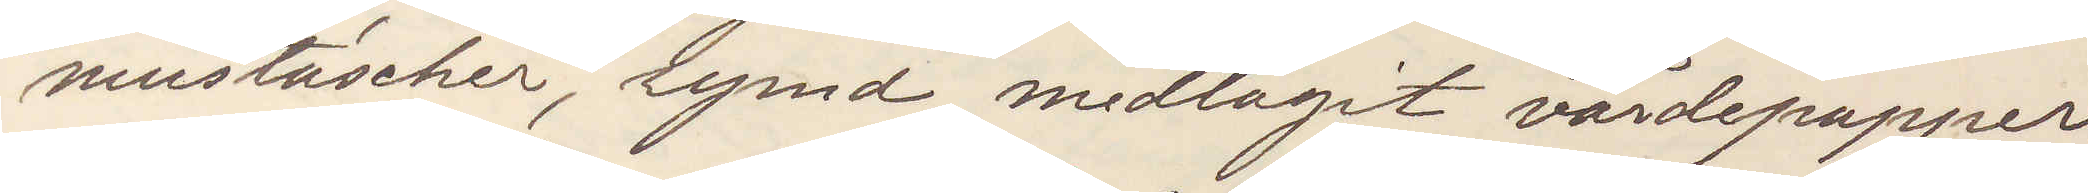mustascher, rymd, medtagit värdepapper
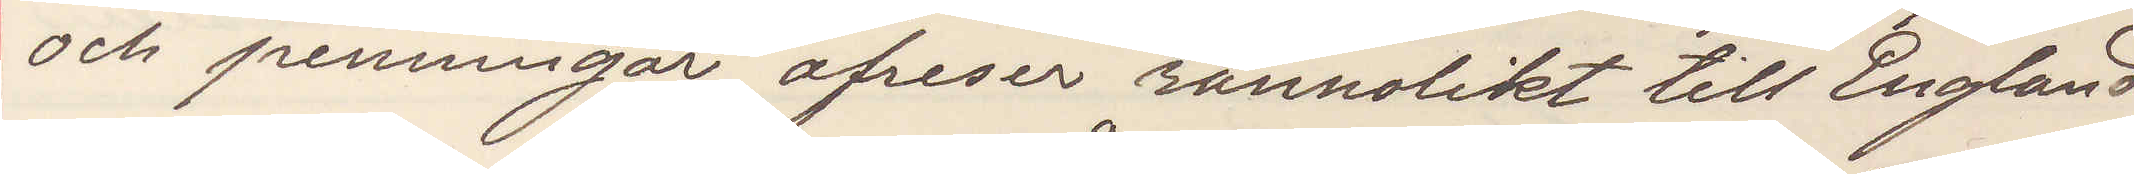och penningar, afreser sannolikt till England
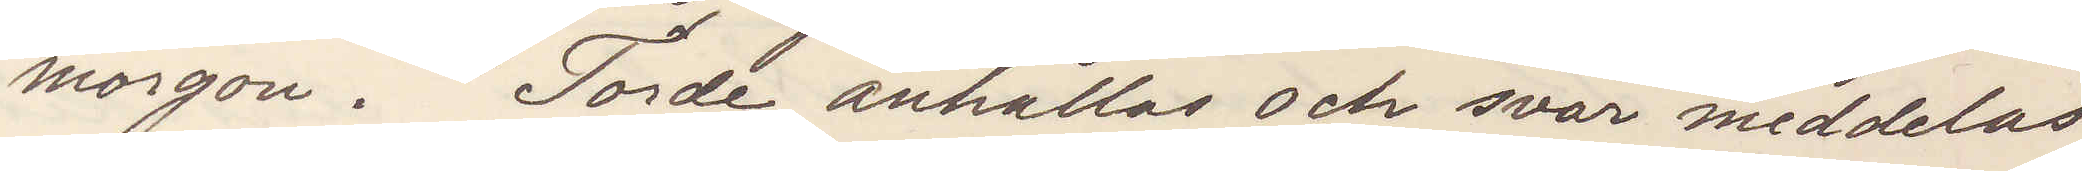morgon. Torde anhållas och svar meddelas
